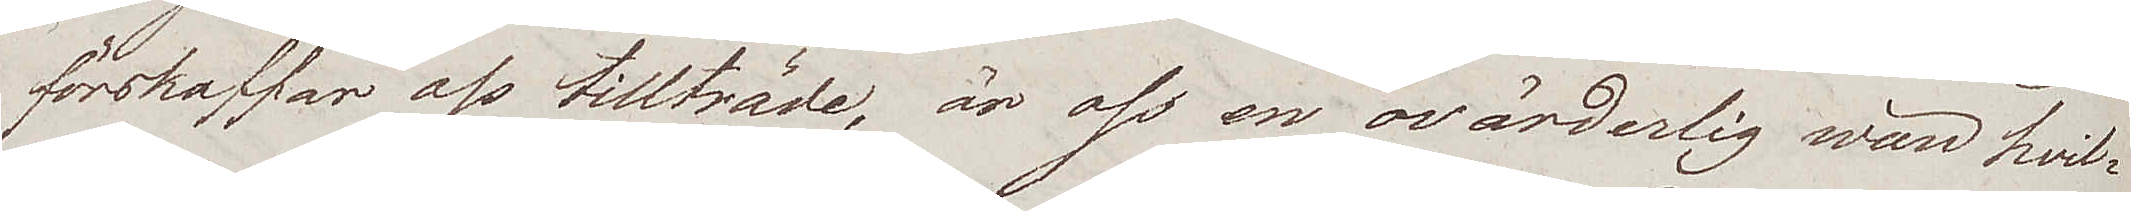förskaffar oss tillträde, är oss en ovärderlig wän hvil¬
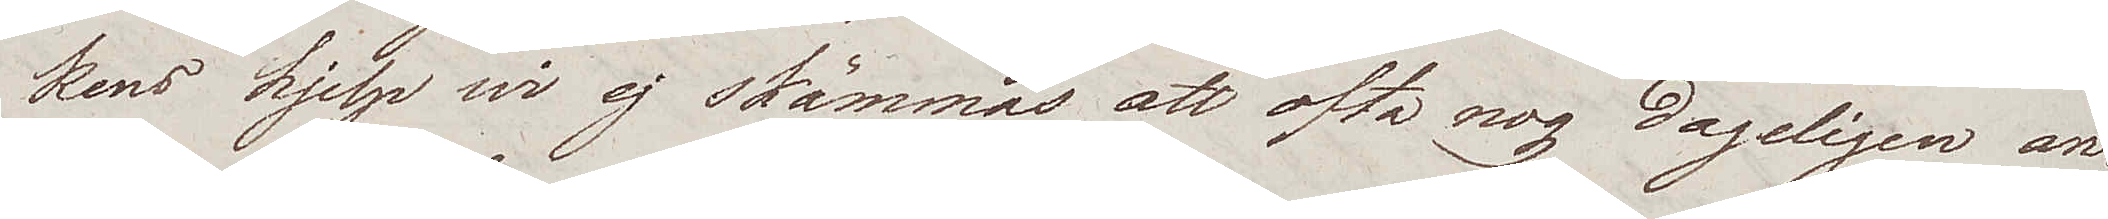kens hjelp wi ej skämmas att ofta nog dageligen an¬
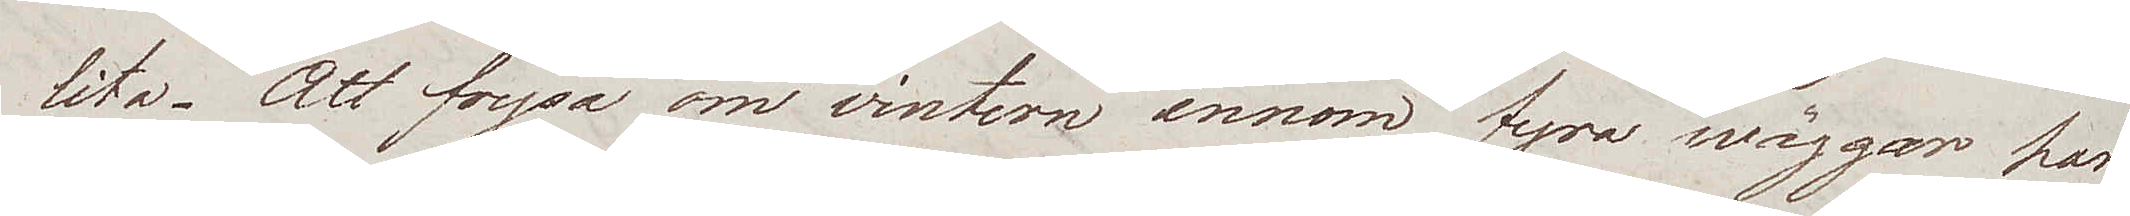lita. Att frysa om vintern innom fyra wäggar har
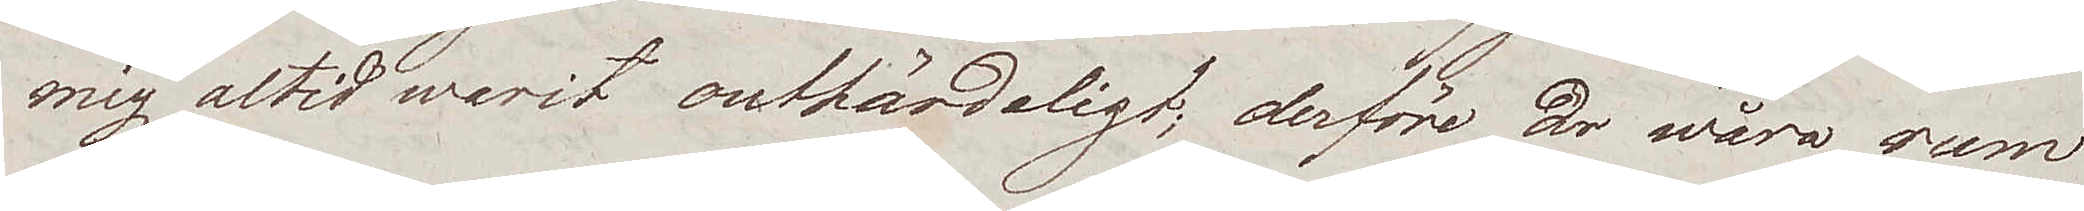mig altid warit outhärdeligt; derföre är wåra rum
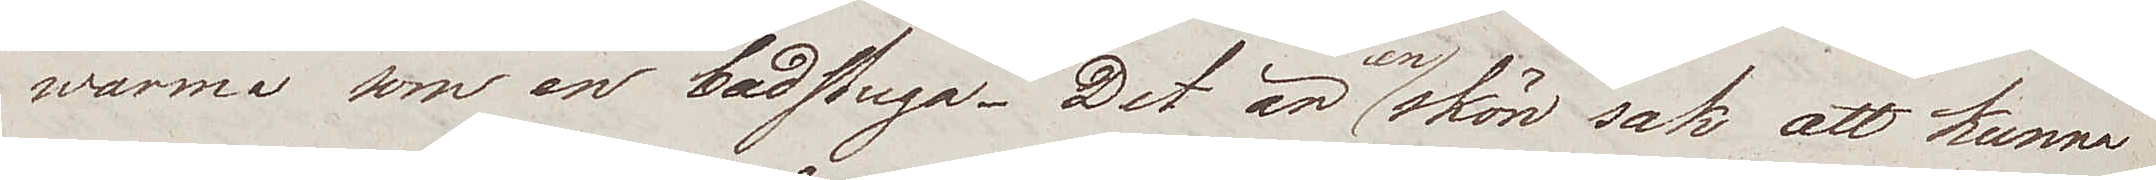warma som en badstuga. Det är en skön sak att kunna
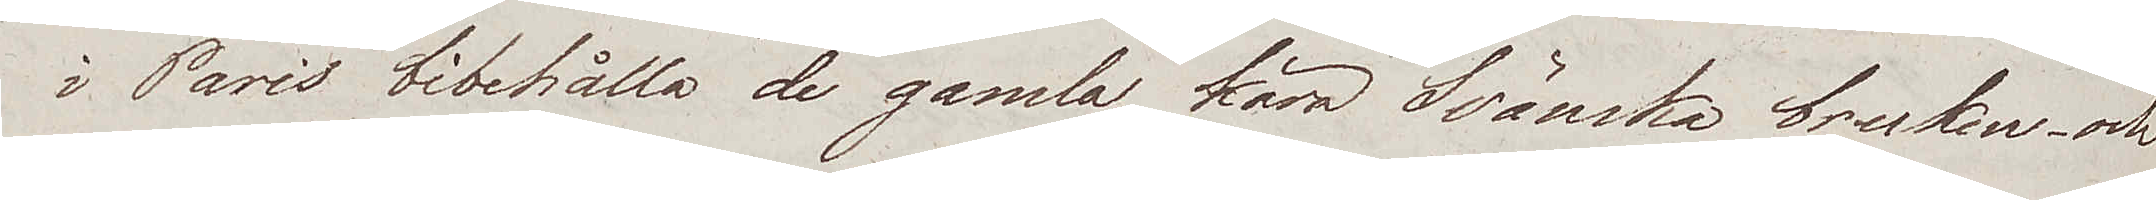i Paris bibehålla de gamla kära Svänska bruken och
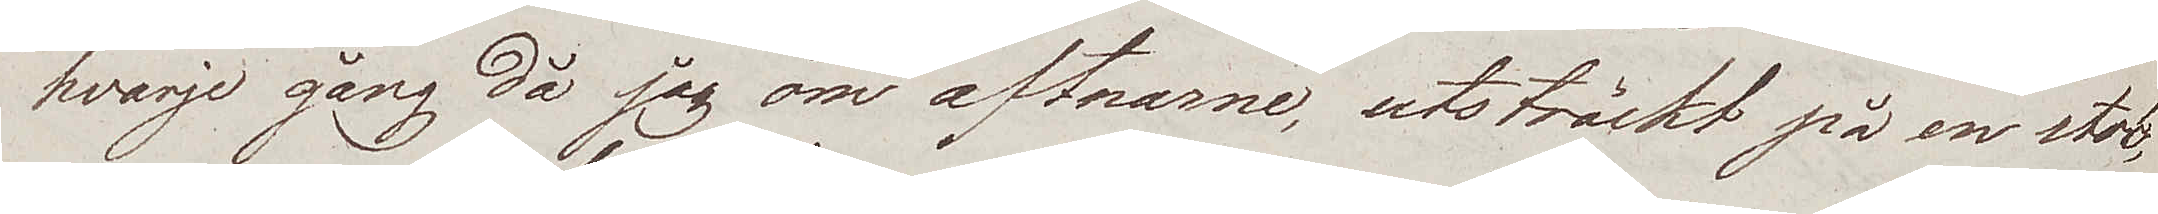hvarje gång då jag om aftnarne, utsträckt på en stol,
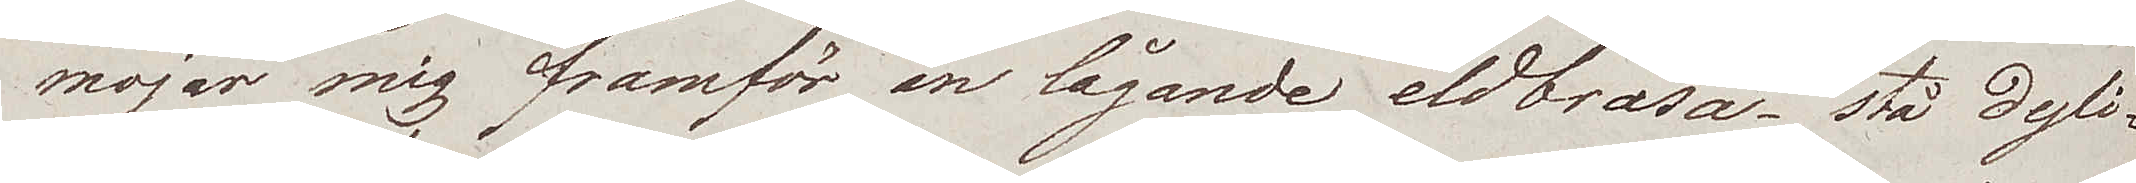mojar mig framför en lågande eldbrasa – stå dyli¬
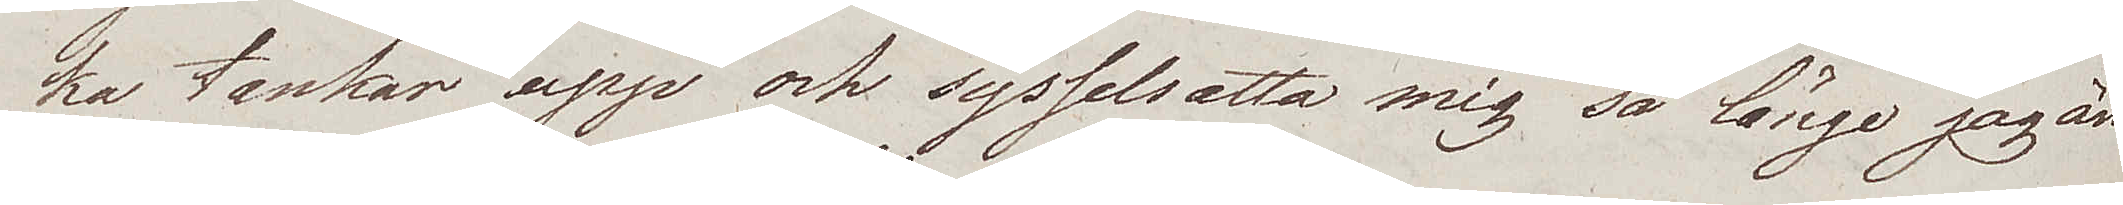ka tankar upp och sysselsatta mig så länge jag än¬
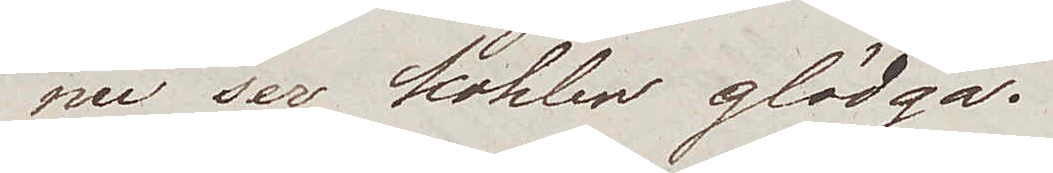nu ser kohlen glödga.
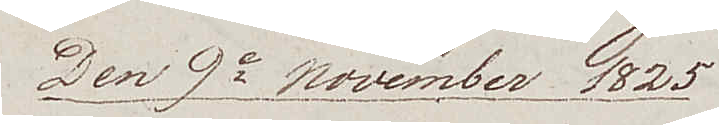Den 9e November 1825
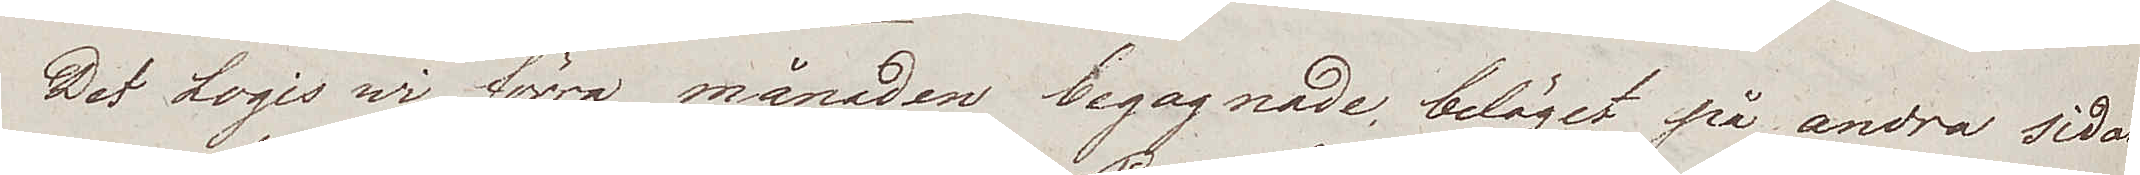Det Logis wi förra månaden begagnade, beläget på andra sidan
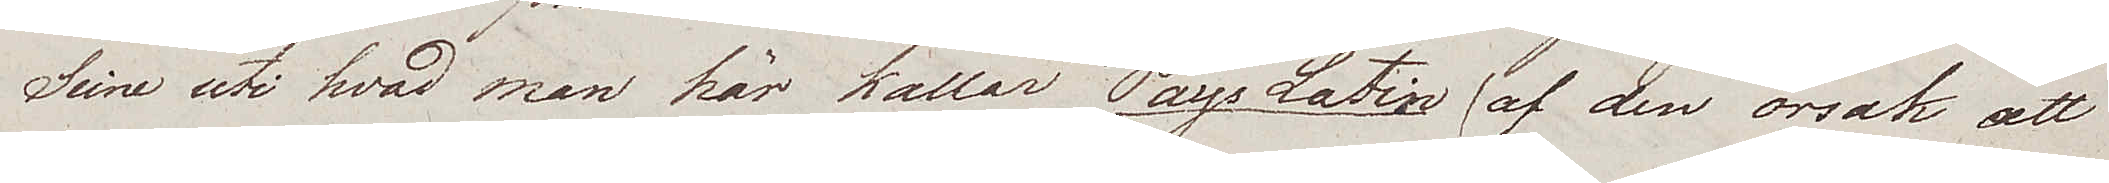Seine uti hvad man här kallar Pays Latin (af den orsak att
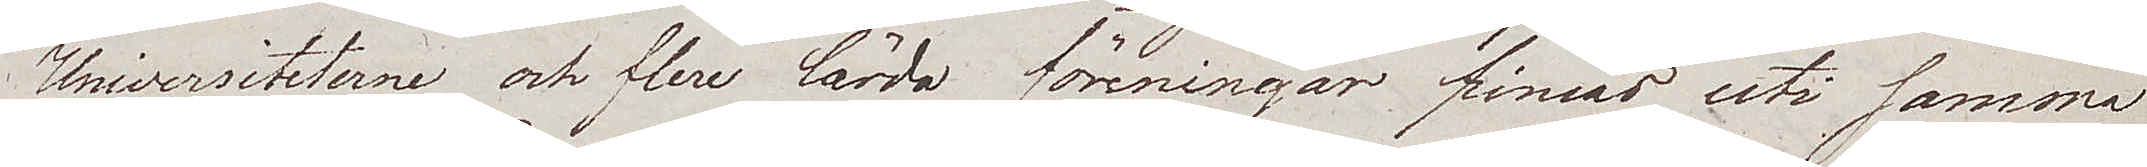Universiteterne och flere lärda föreningar finnas uti samma
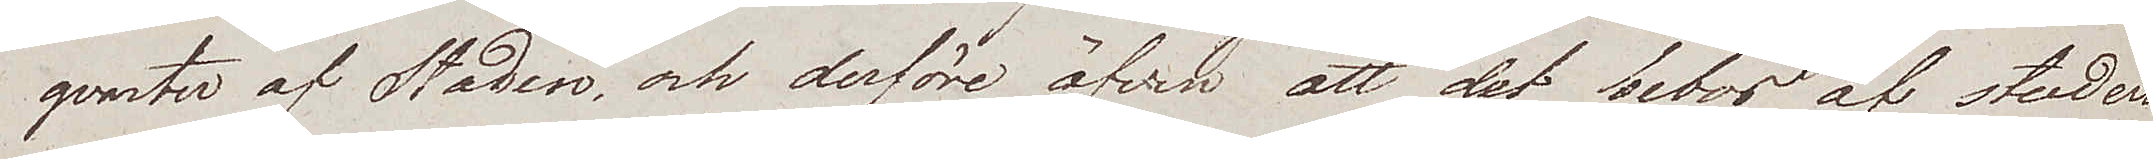qvarter af Staden, och derföre äfven att det bebos af studen¬
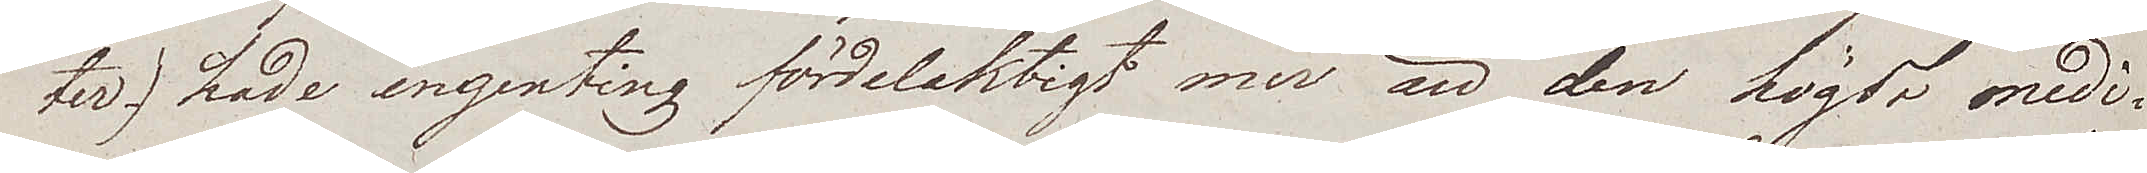ter) hade ingenting fördelaktigt mer än den högst medi¬
